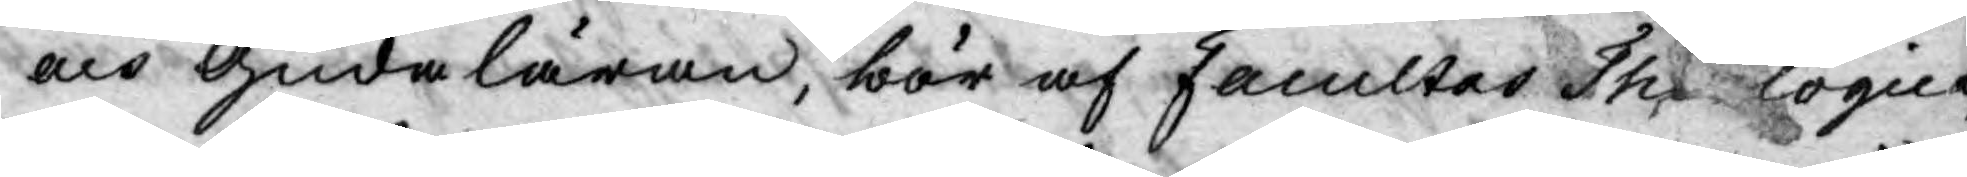och Guda läran, bör af Facultes Thelogica,
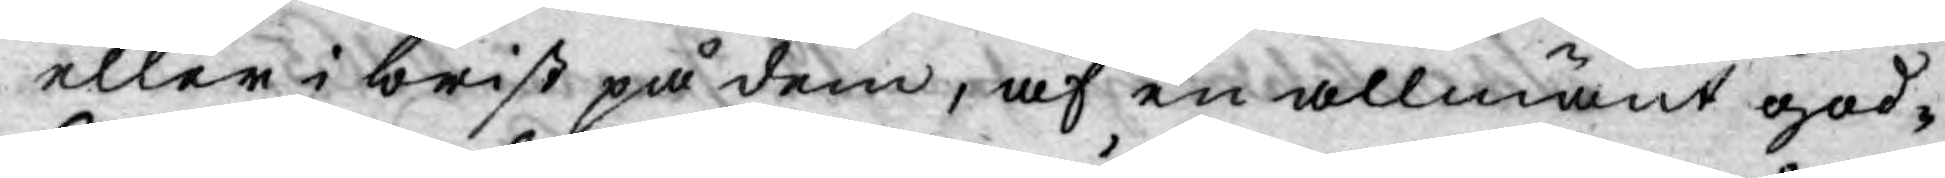eller i brist på dem, af en allmänt god¬
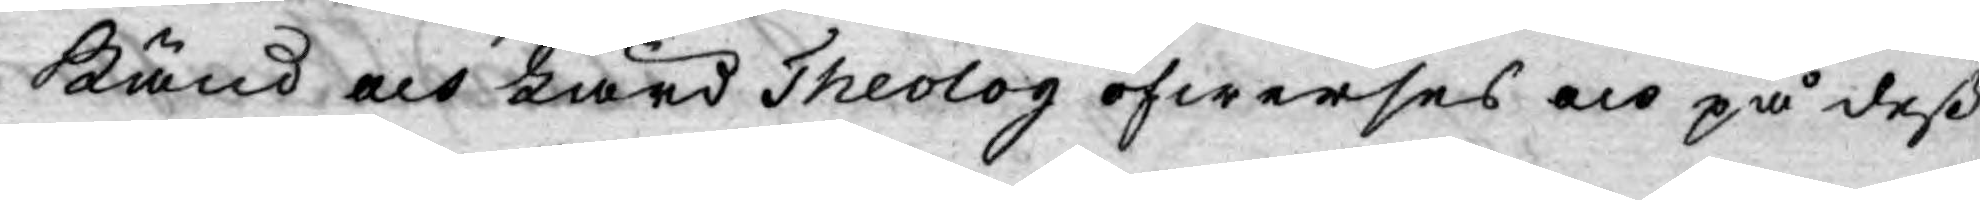känd, och Lärd Theolog öfwerses och på deß
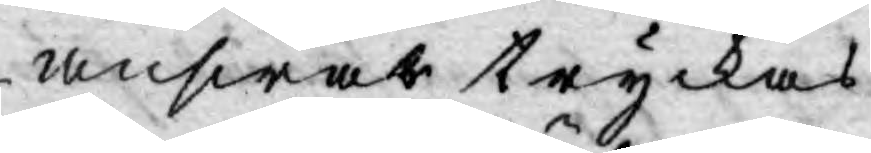answar tryckas.
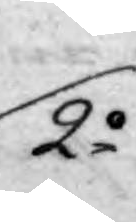2o
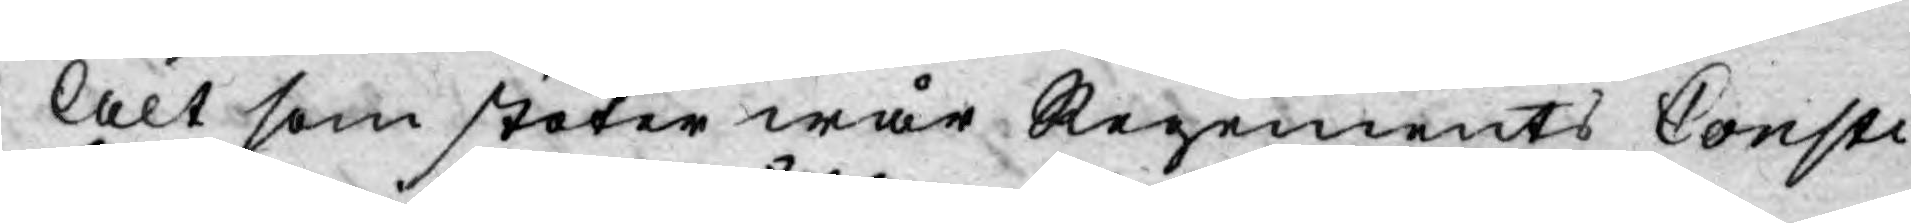Alt som stöter wår Regements Consti¬
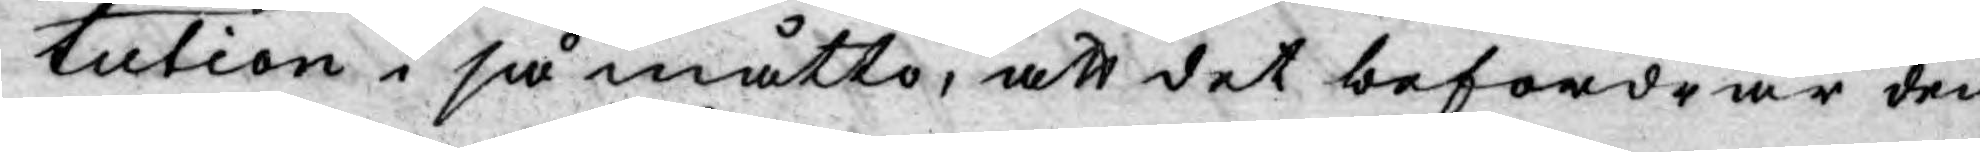tution i så måtto, att det befordrar den
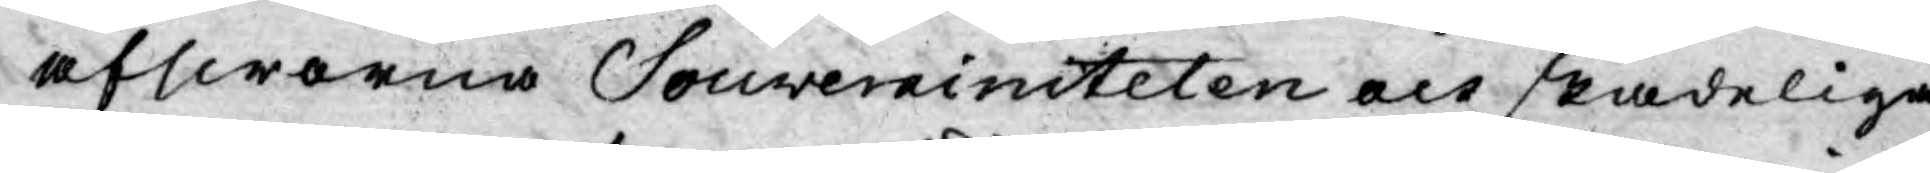afsworna Souverainiteten och skadeliga
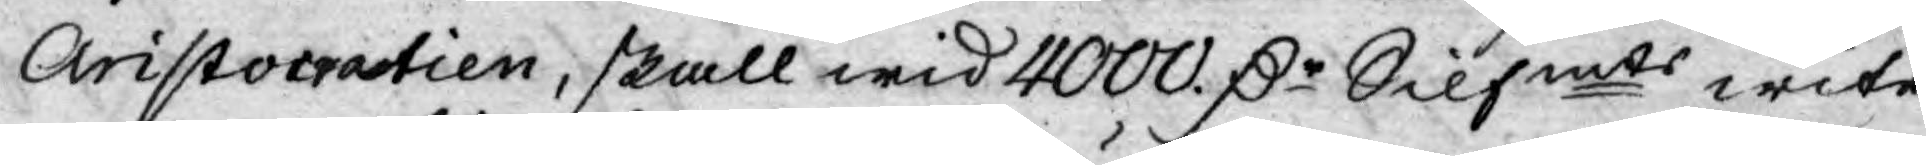Aristocratien, skall wid 4000. Dr Silfmts wite
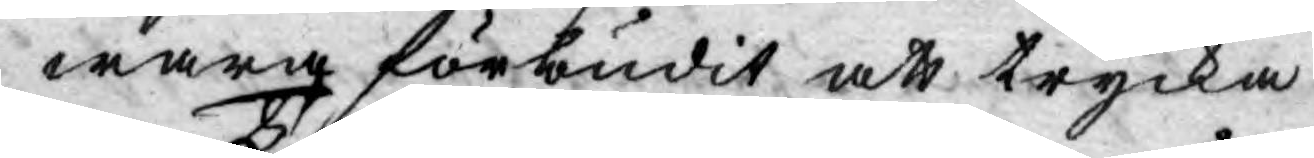wara förbudit att trycka.
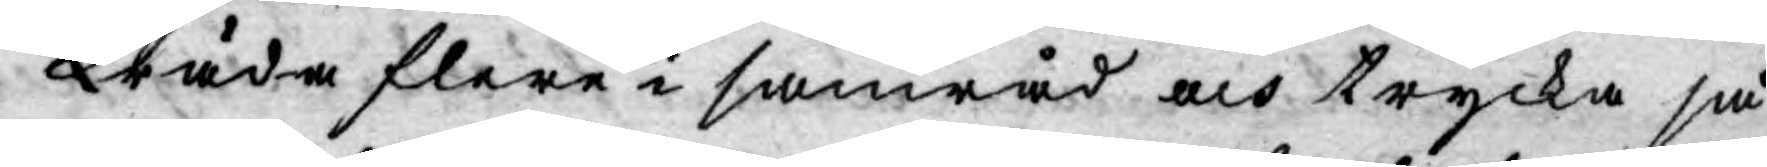Träda flere i samråd och trycka så¬
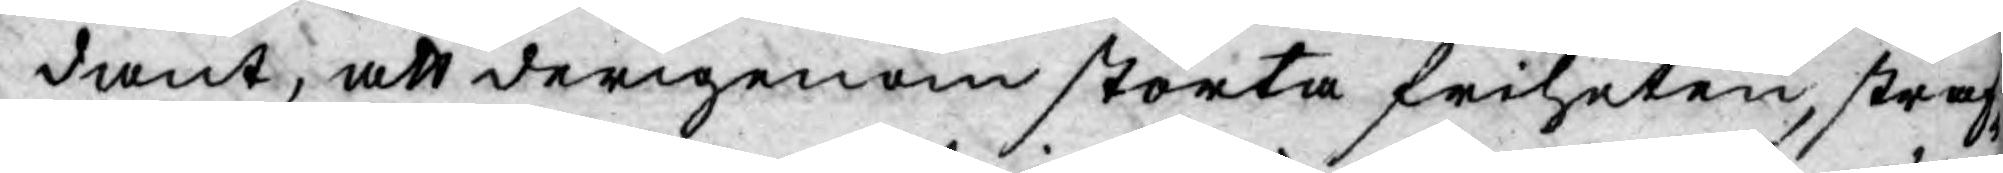dant, att derigenom störta friheten, straf¬
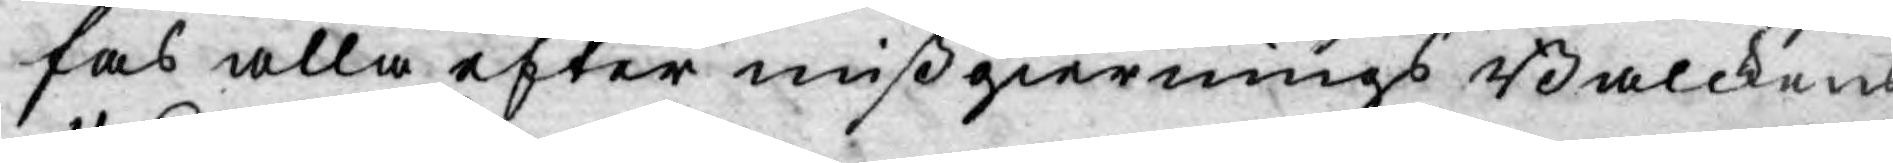fas alla efter mißgiernings Balckens
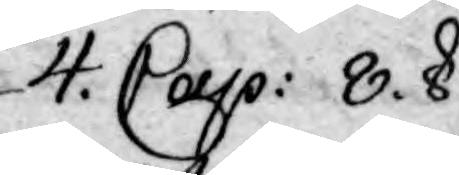4. Cap: 8. §.
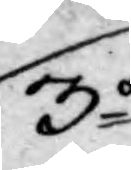3o
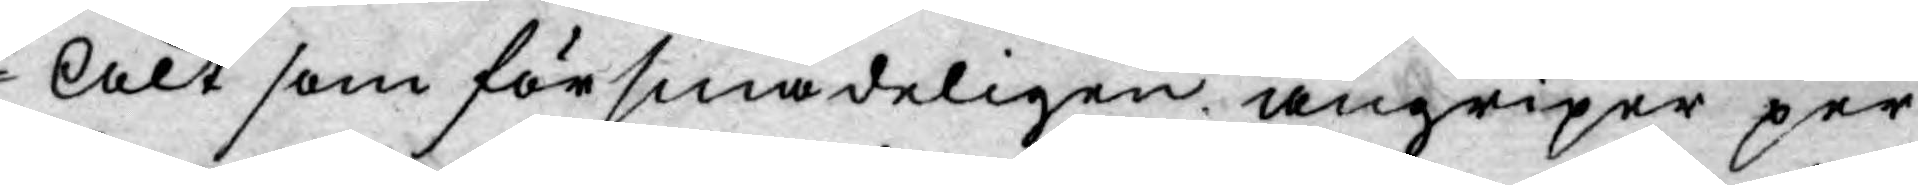Alt som försmädeligen angriper per¬
